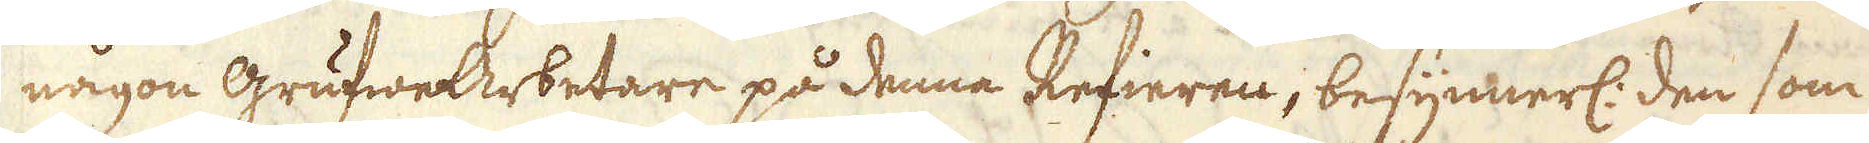någon grufweArbetare på denna Refieren, besynnerl: den som
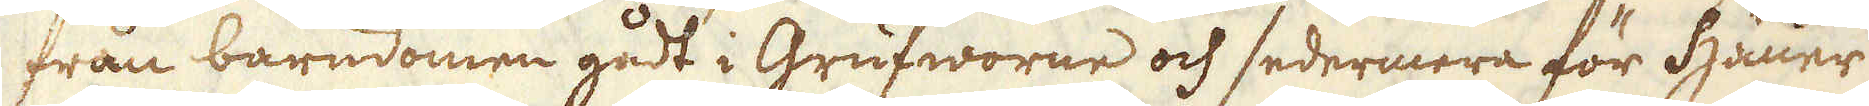från barndomen gådt i Grufworne och sedermera för Häune
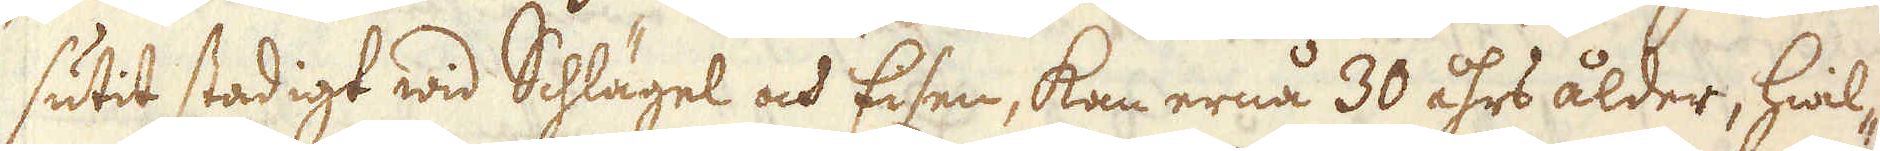sutit stadigt wid Schlägel och Esen, kan ernå 30 åhrs ålder, hwil-
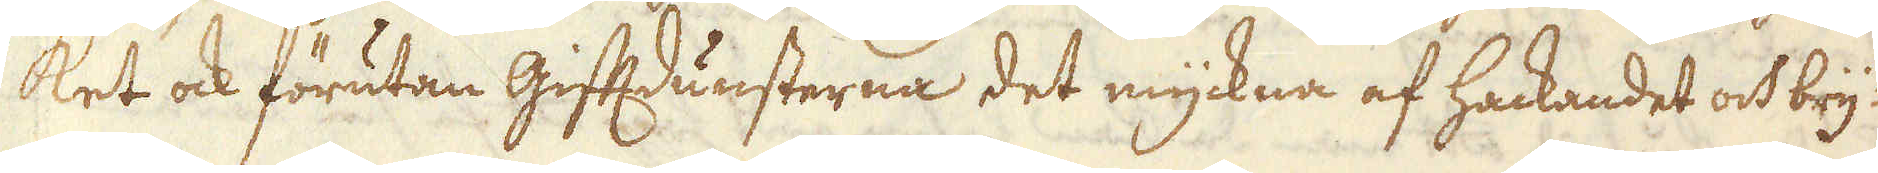ket ock förutan giftdunsterna det myckna af hackandet och bry-
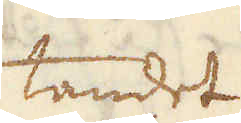tandet
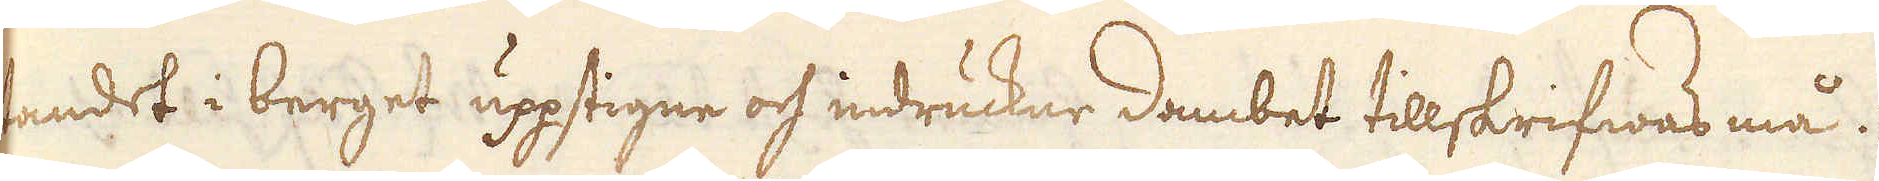tandet i berget uppstigne och indruckne dambet tillskrifwas må.
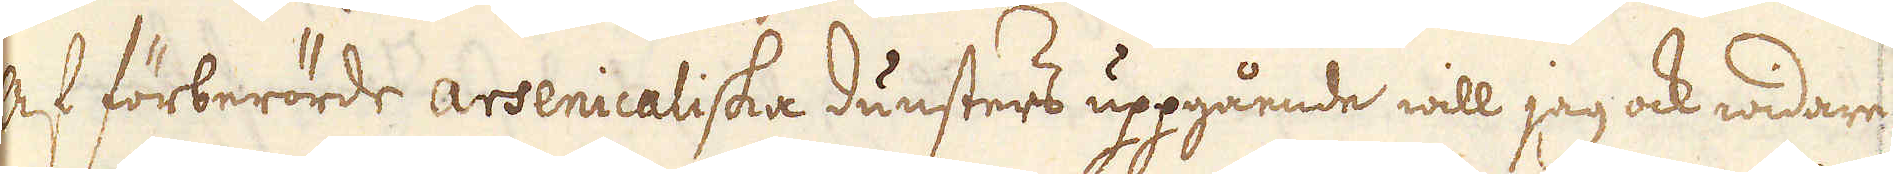Af förberörde arsenicaliska dunsters uppgående will jag ock widare
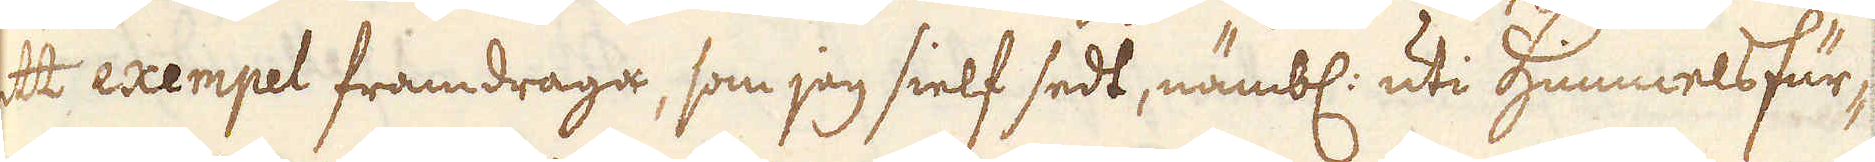ett exempel framdraga, som jag sielf sedt, nämbl: uti Himmelsfur-
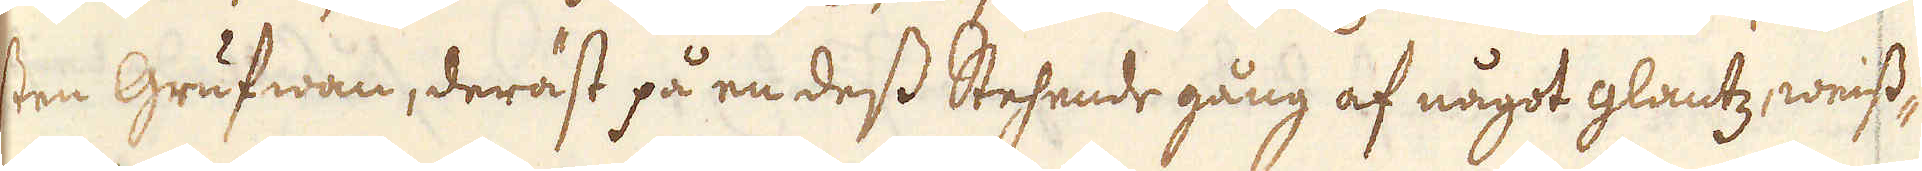sten Grufwan, deräst på en dess Stehende gång af något glantz weiss-
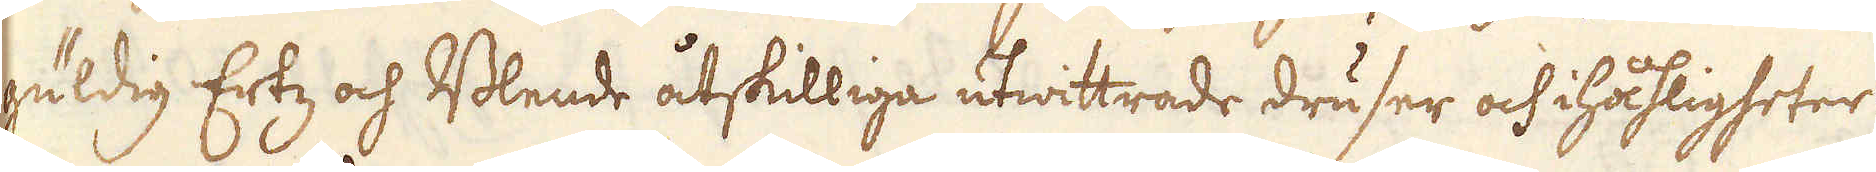güldig Ertz och Blende åtskilliga utwittrade druser och ihåligheter
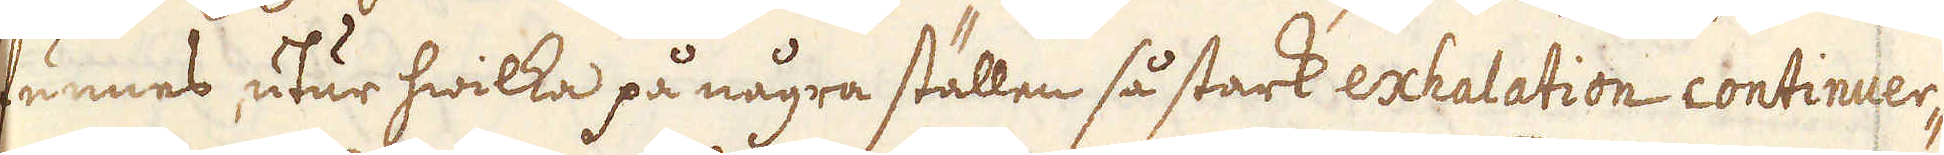funnes, utur hwilka på några ställen så stark exhalation continuer-
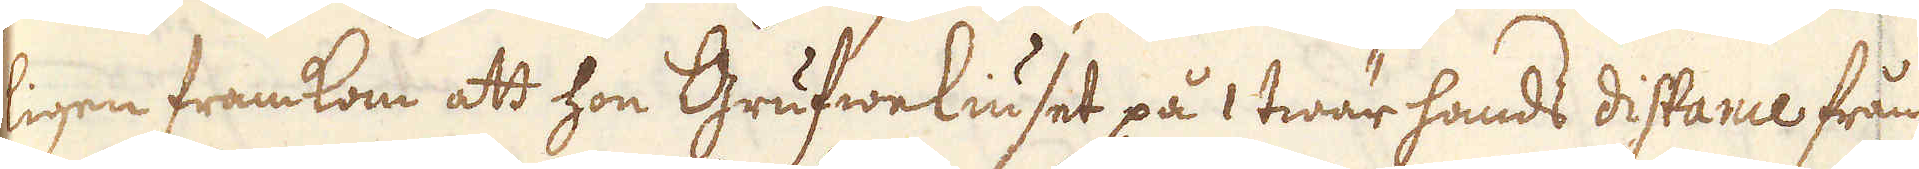ligen framkom att hon Grufweliuset på 1 twär hands distance från
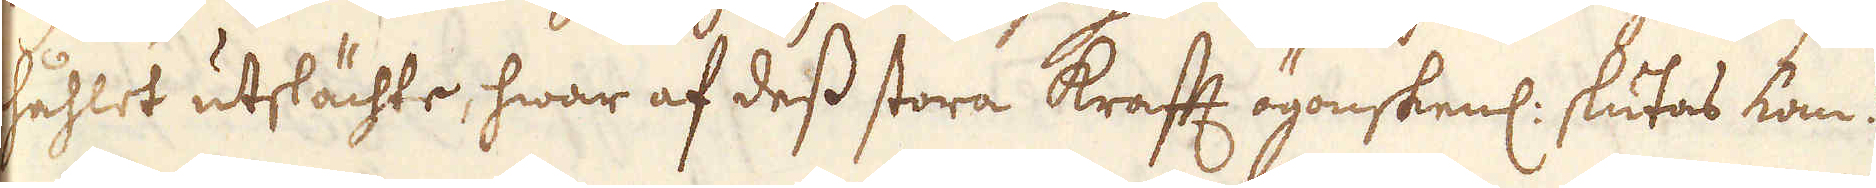håhlet utslächte, hwar af dess stora krafft ögonskenl: slutas kan.
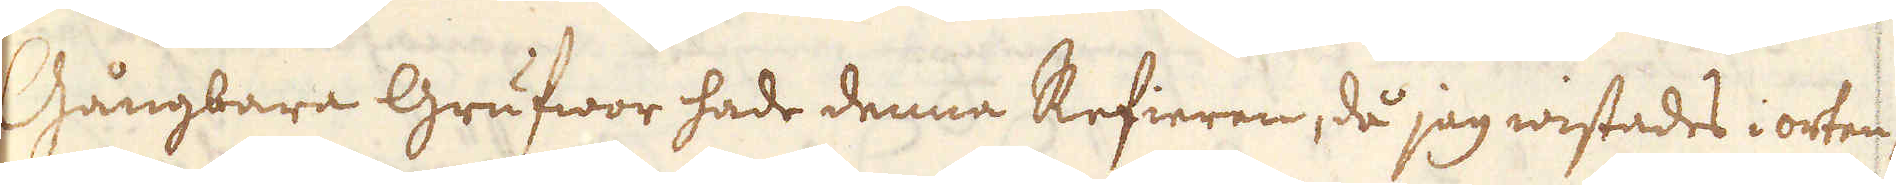Gångbara Grufwor hade denna Refieren, då jag wistades i orten
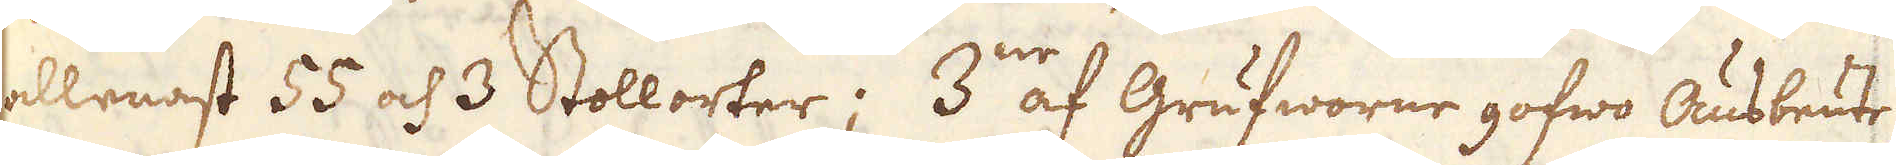allenast 55 och 3 Stollorter; 3:ne af Grufworne gofwo Ausbeute
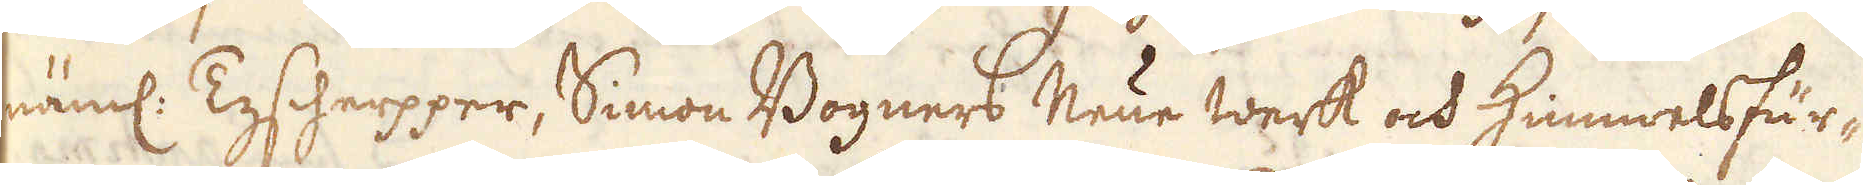näml. Tyscherpper, Simon Bogners Neue werk och Himmelsfür-
